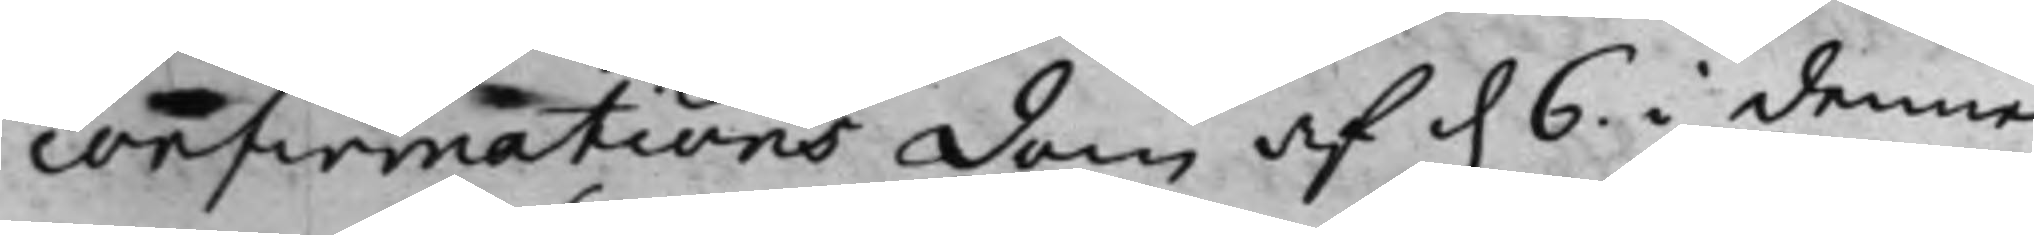confirmations dom af d. 6 i denne
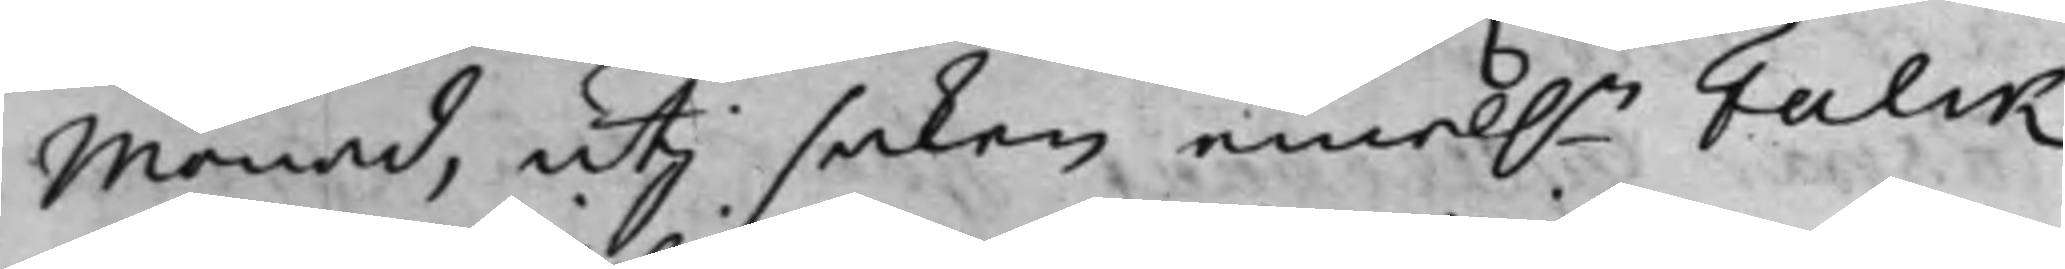Monad, utj saken emel.n Falck
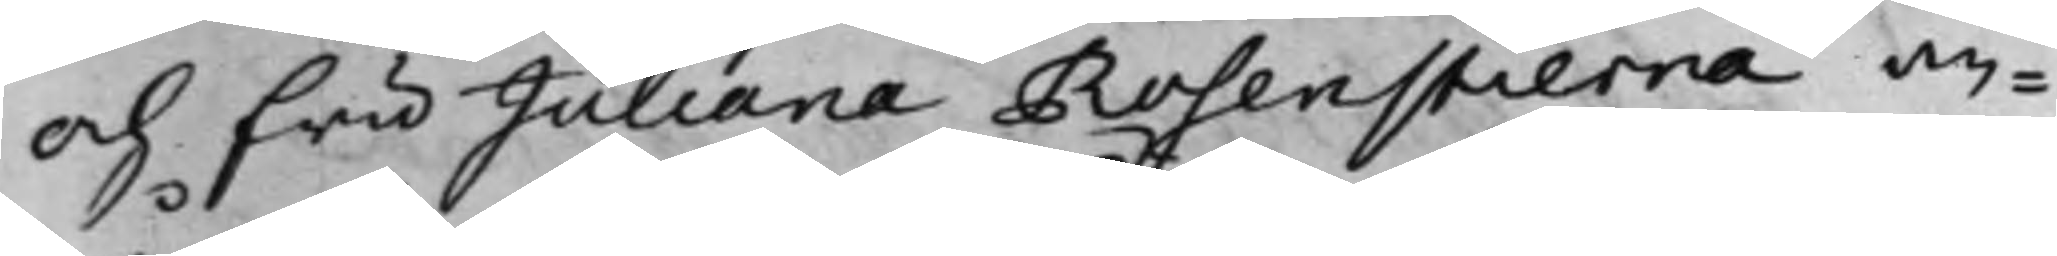och fru Juliana Rosenstierna, an¬
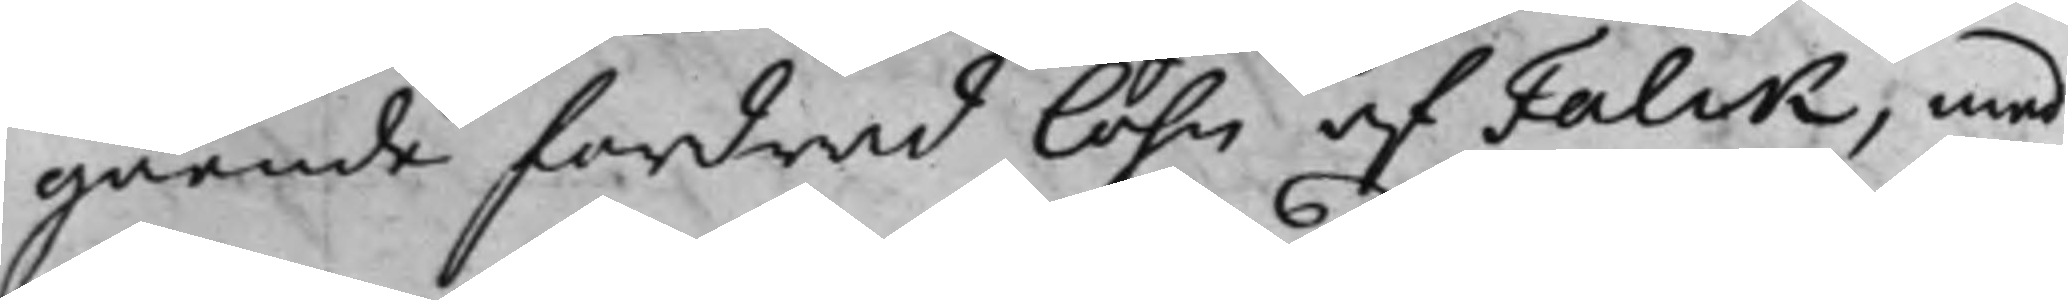gående fordrad löhn af Falck, med
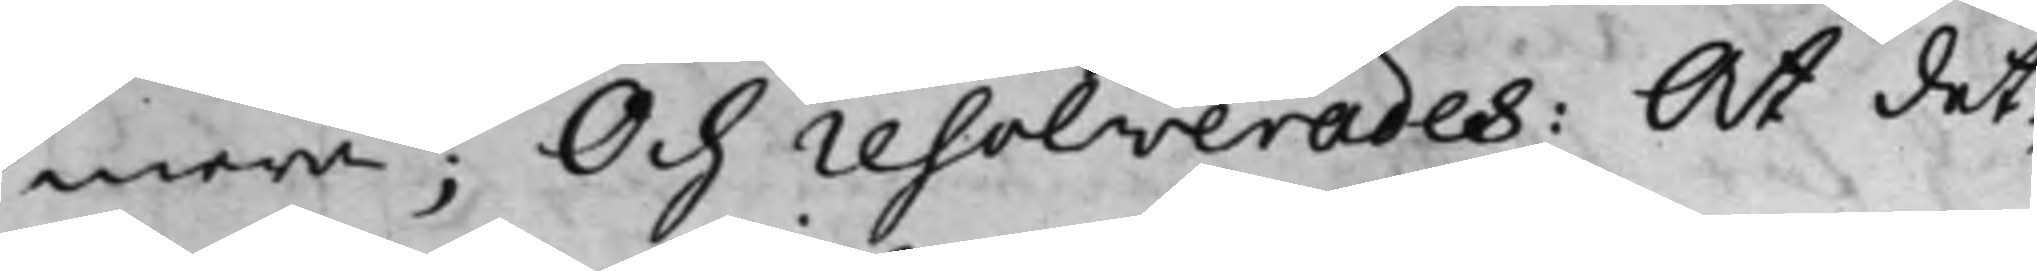mera; Och resolverades: At det¬
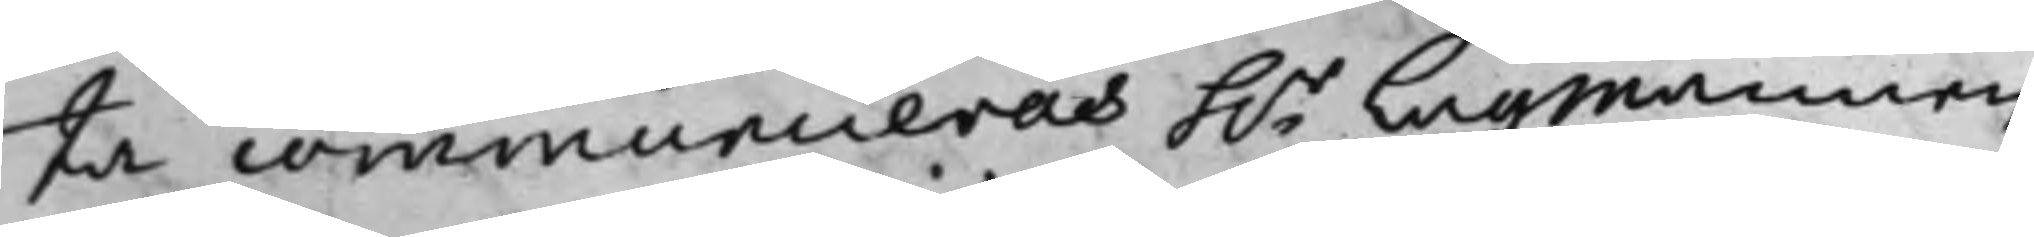ta communiceras h.r Lagmannen
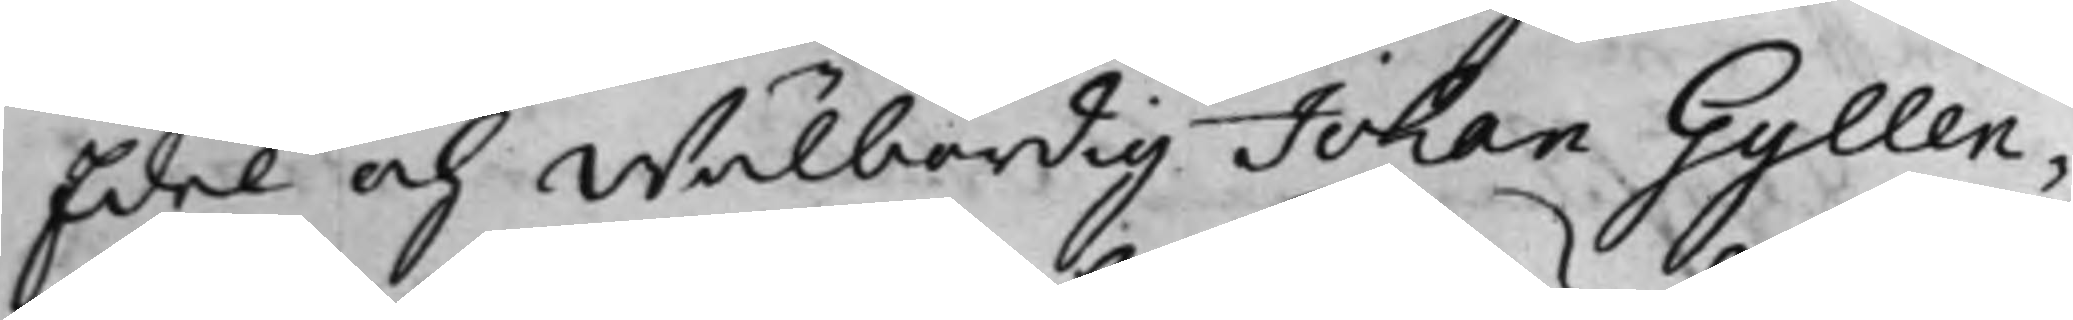Edel och Wälbördig Johan Gyllen¬
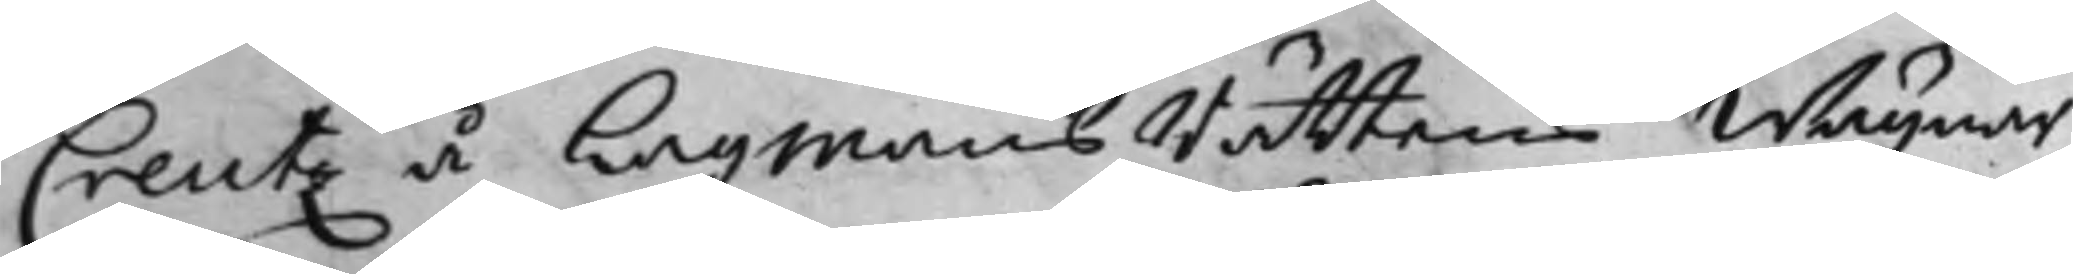Creutz å LagmansRättens Wägnar,
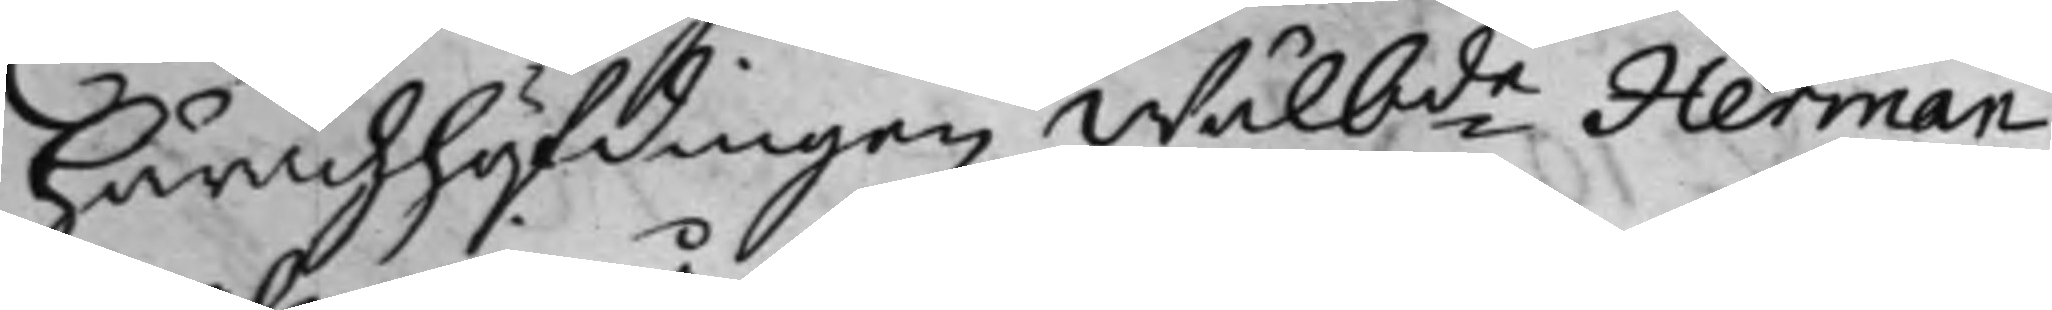Häradzhöfdingen Wälbde Herman
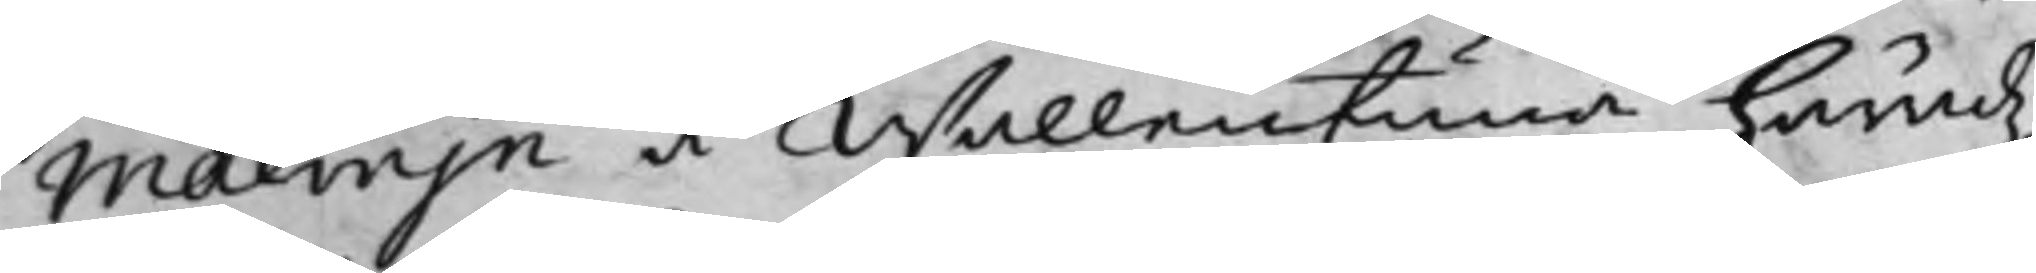Malwijn å Wallentuna häradz¬
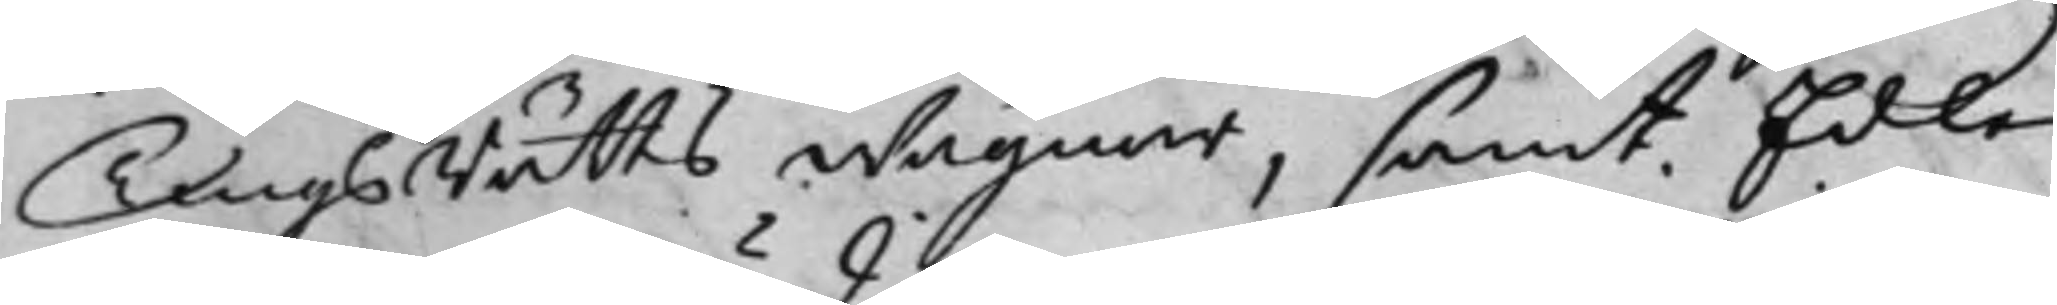TingsRätts wägnar, samt Edle
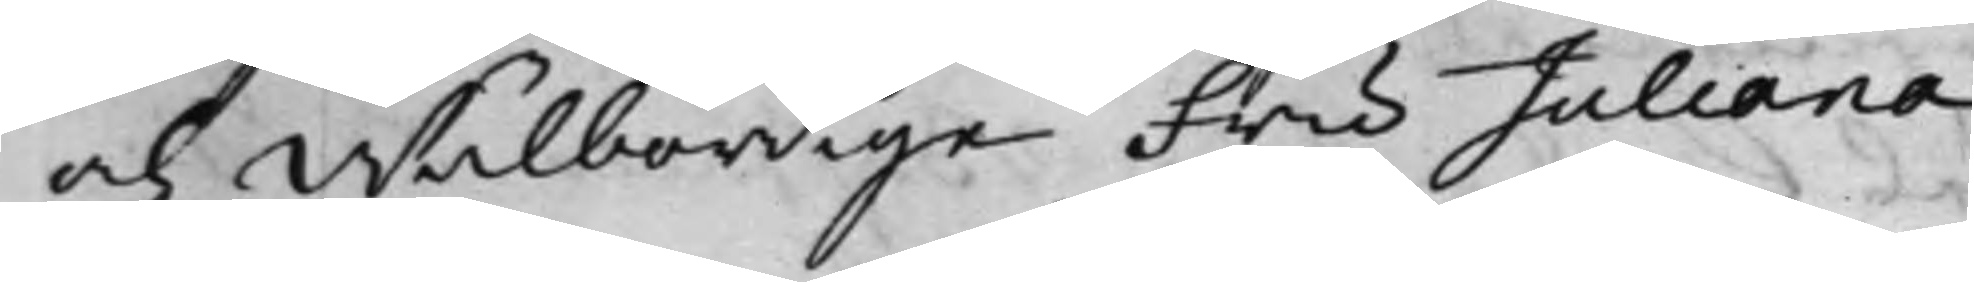och Wälbördige Fru Juliana
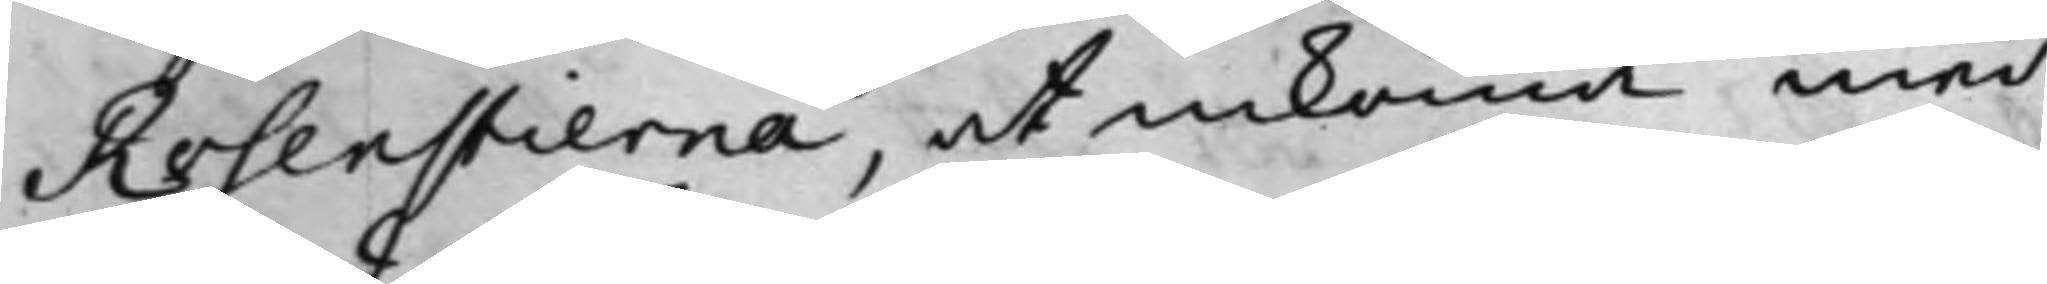Rosenstierna, at inkomma med
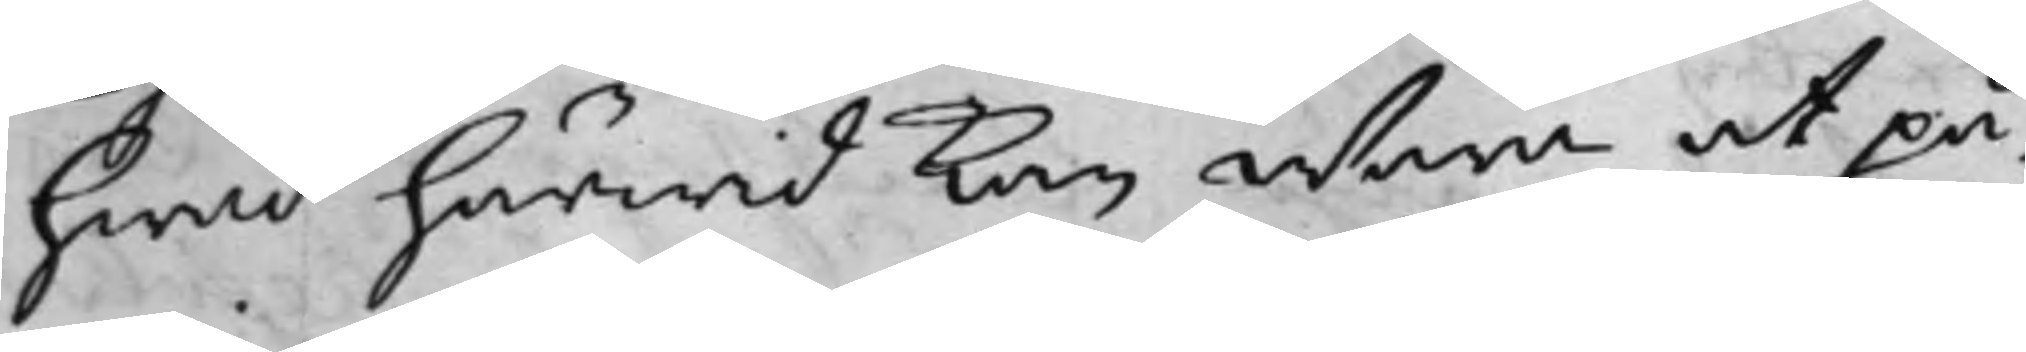hwad härwid kan wara at på¬
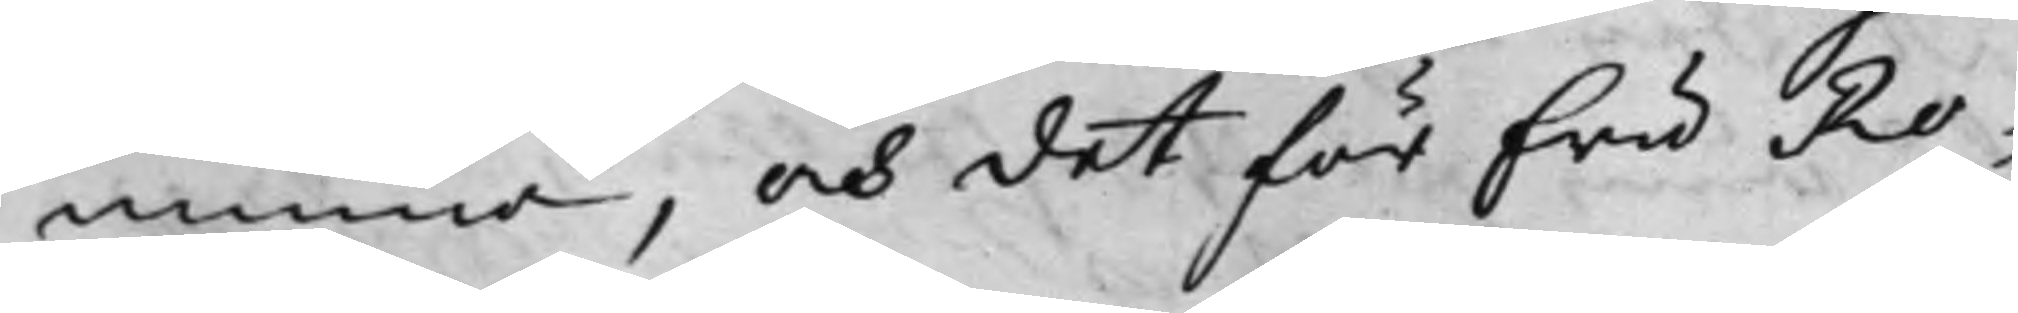minna, och det för fru Ro¬
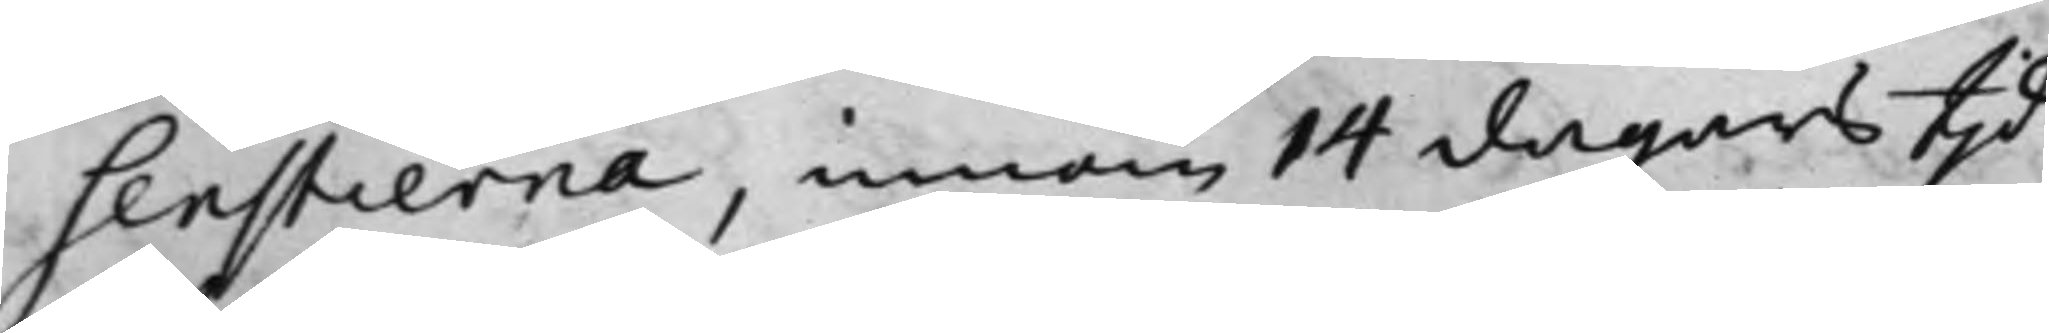senstierna, innom 14 dagars tijd
